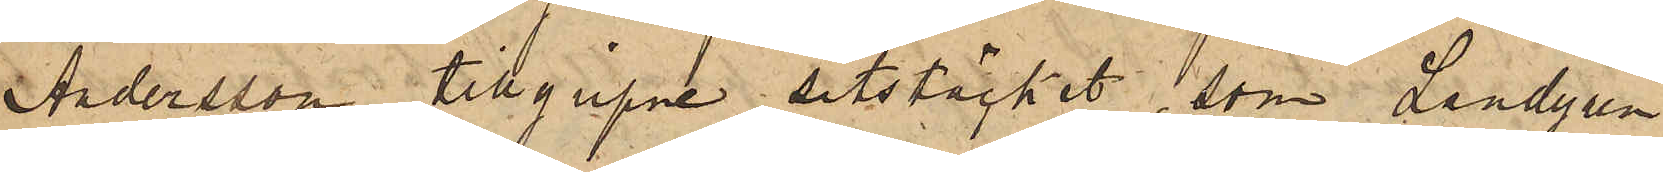Andersson tillgripne sitstäcket, som Landgren
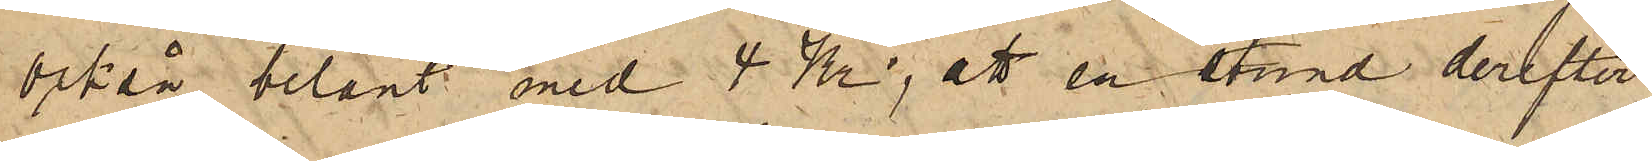också belånt med 4 Kr; att en stund derefter
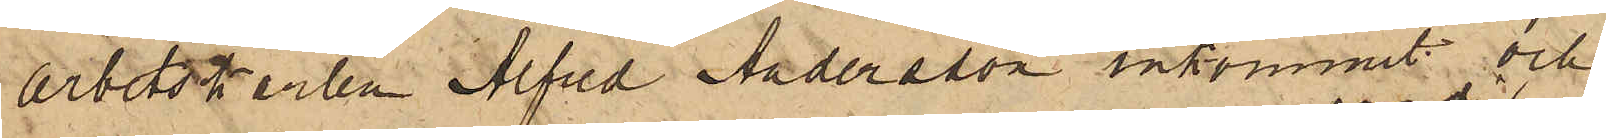arbetskarlen Alfred Andersson inkommit och
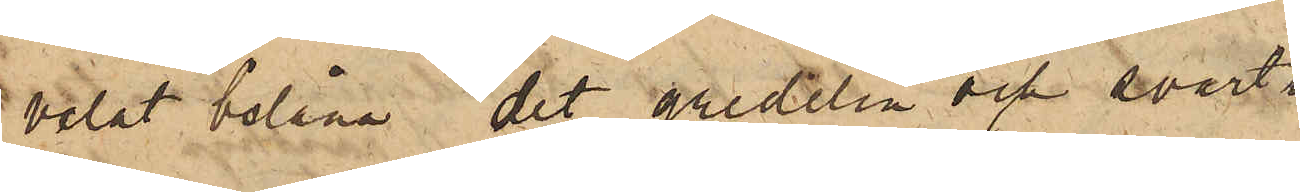velat belåna det gredelin och svart
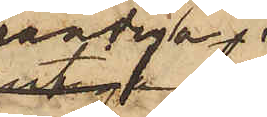randiga
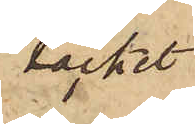täcket
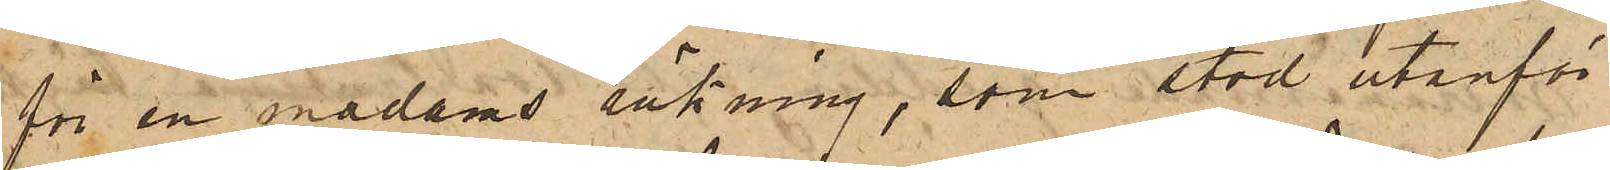för en madams räkning, som stod utanför
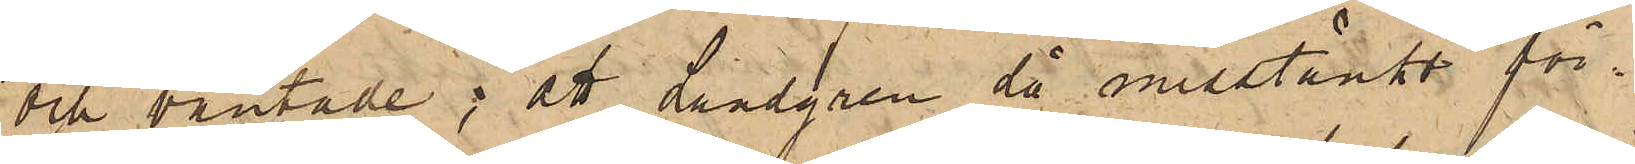och väntade; att Landgren då misstänkt för¬
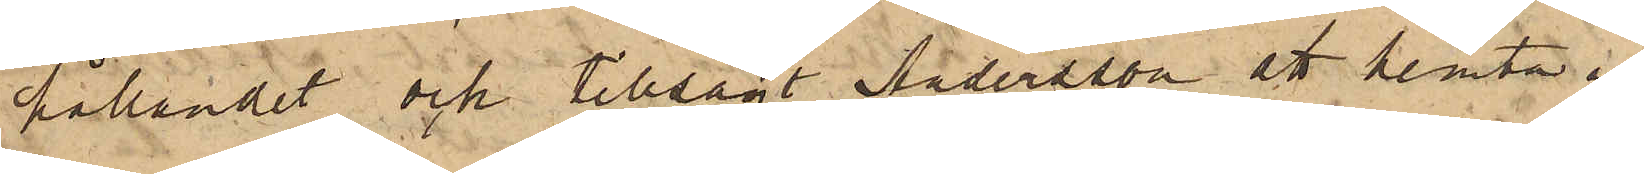hållandet och tillsagt Andersson att hemta in
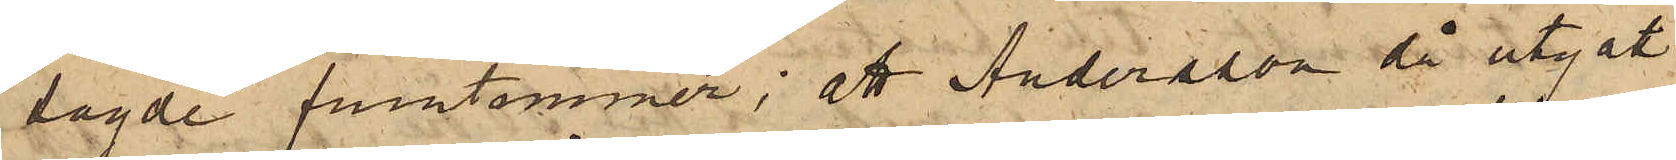sagde fruntimmer; att Andersson då utgått
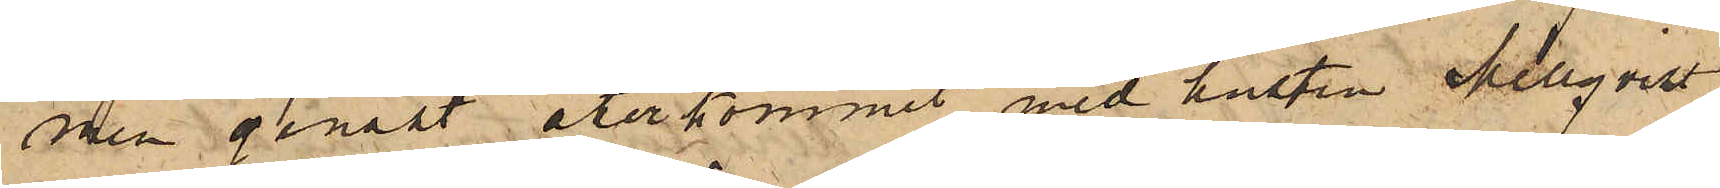men genast återkommit med hustru Mellqvist,
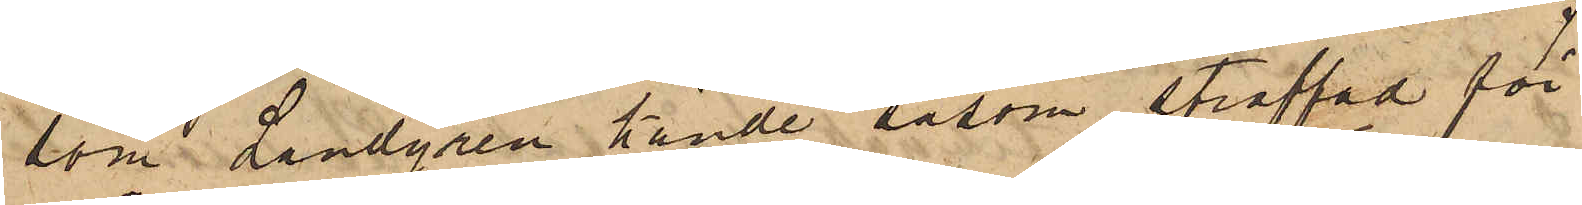som Landgren kände såsom straffad för
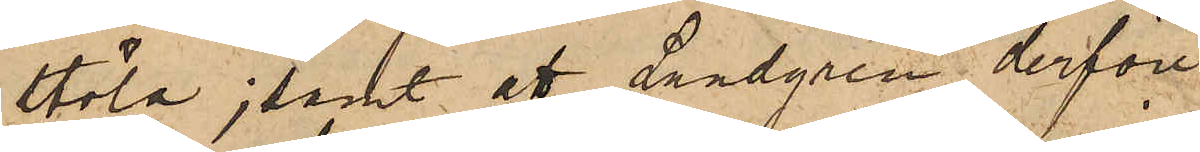stöld; samt att Landgren derföre
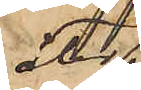åter¬
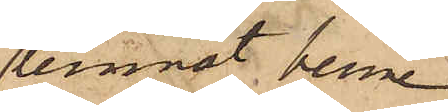lemnat henne
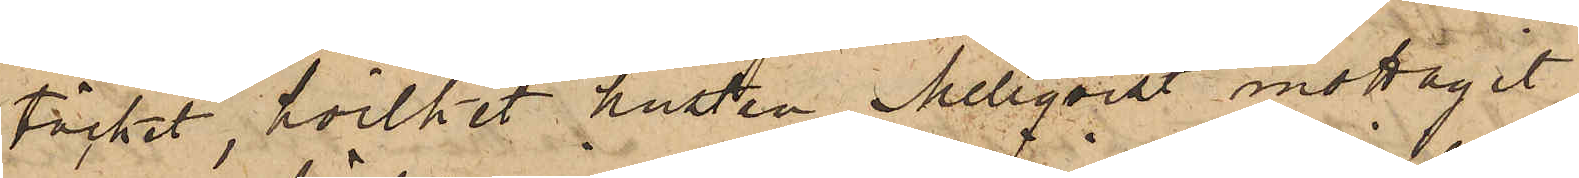täcket, hvilket hustru Mellqvist mottagit
